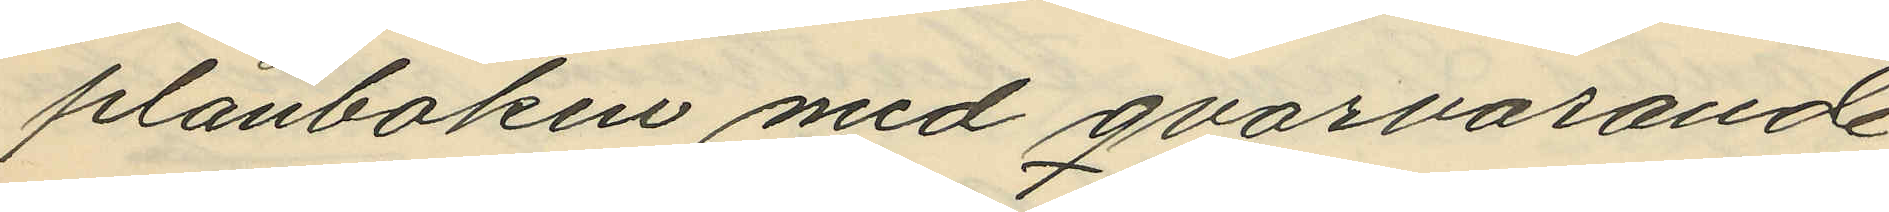plånboken med qvarvarande
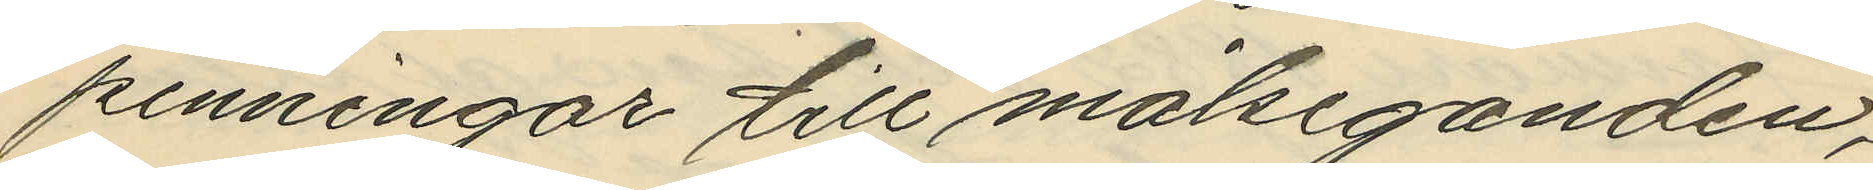penningar till målseganden;
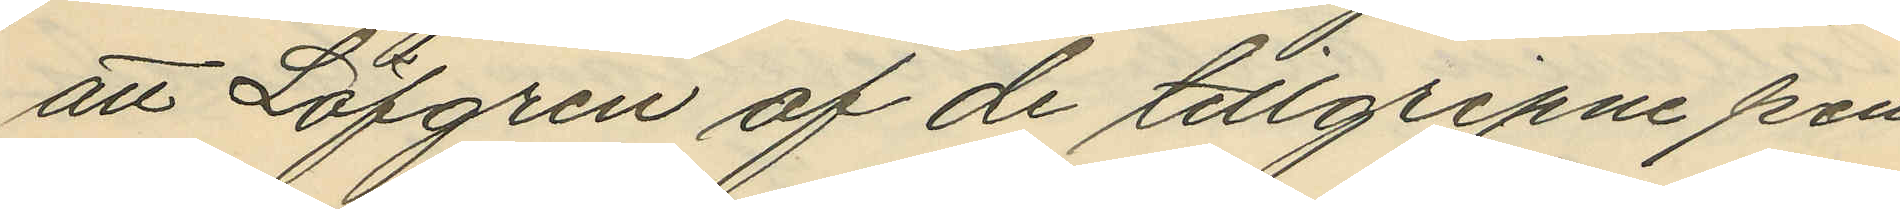att Löfgren af de tillgripne pen¬
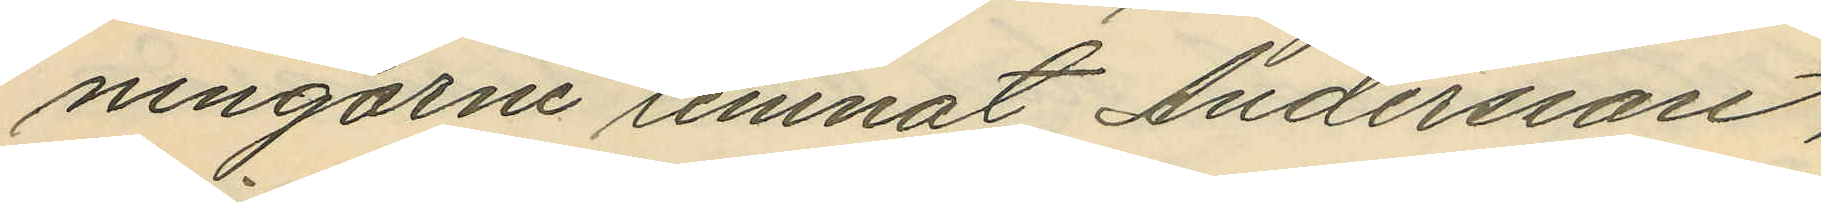ningarne lemnat Andersson,
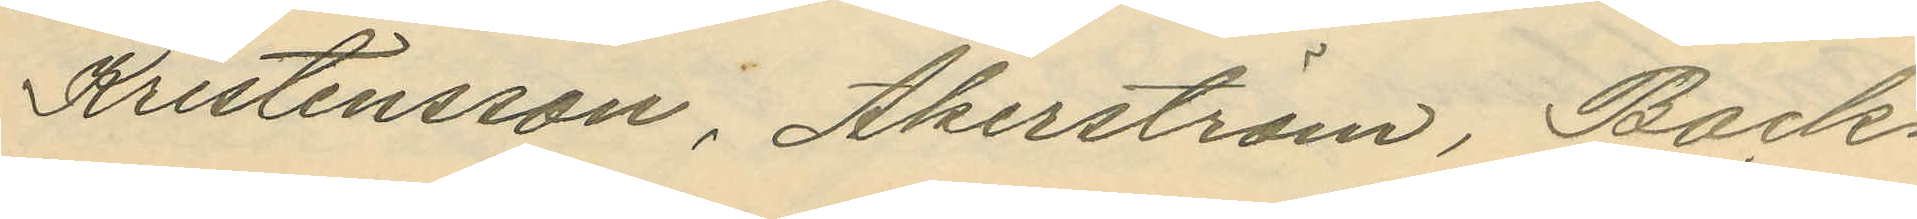Kristensson, Åkerström, Back¬
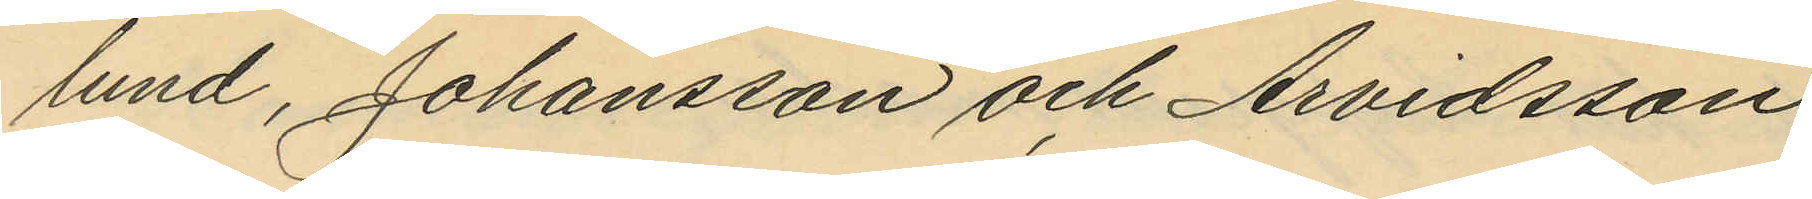lund, Johansson och Arvidsson
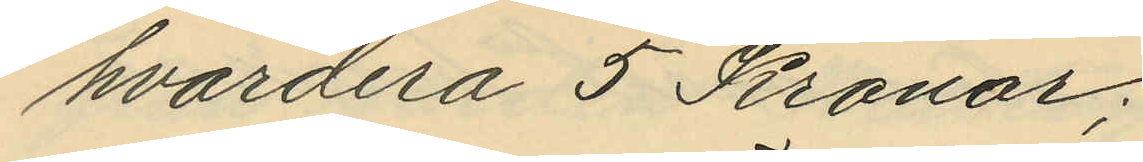hvardera 5 Kronor;
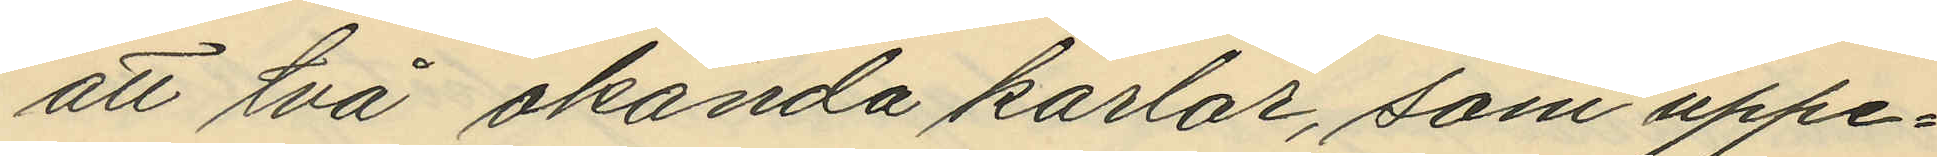att två okända karlar, som uppe¬
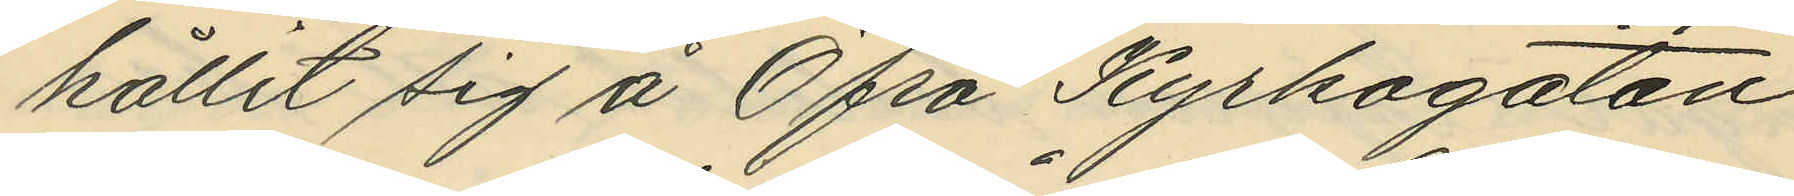hållit sig å Öfra Kyrkogatan
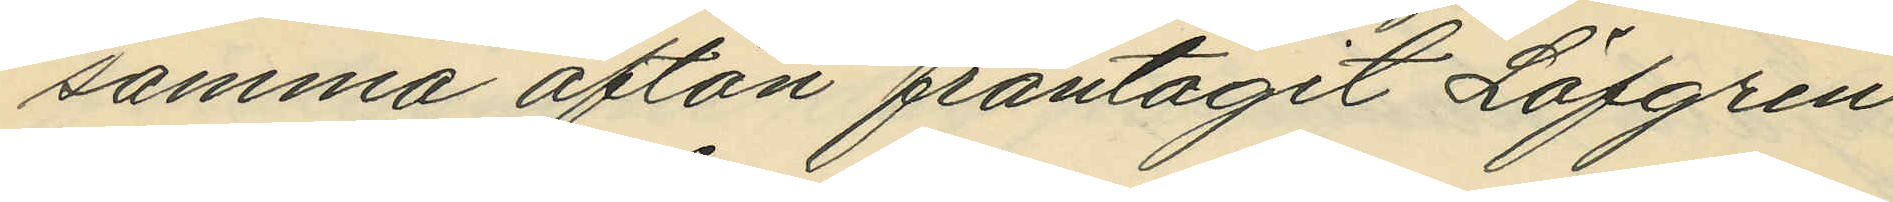samma afton fråntagit Löfgren
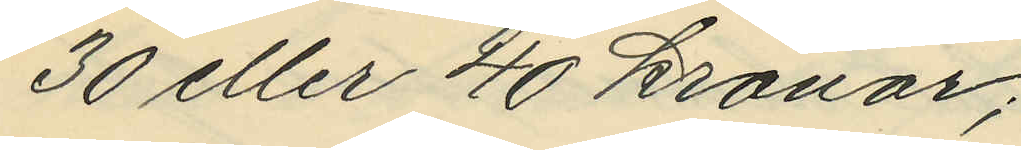30 eller 40 kronor;
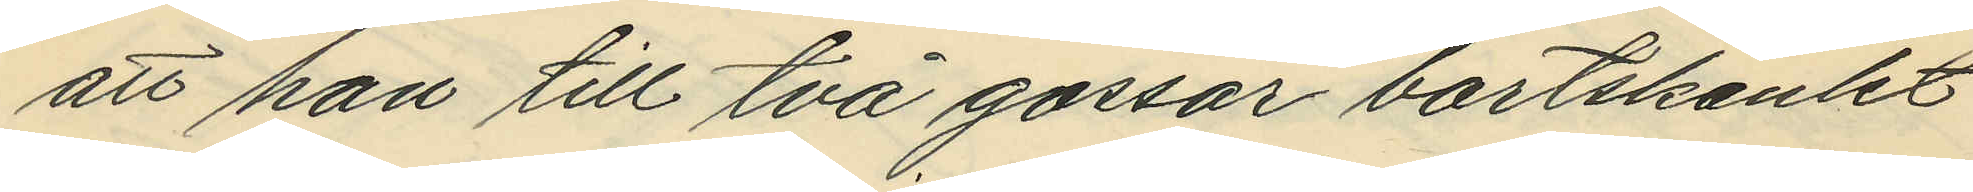att han till två gossar bortskänkt
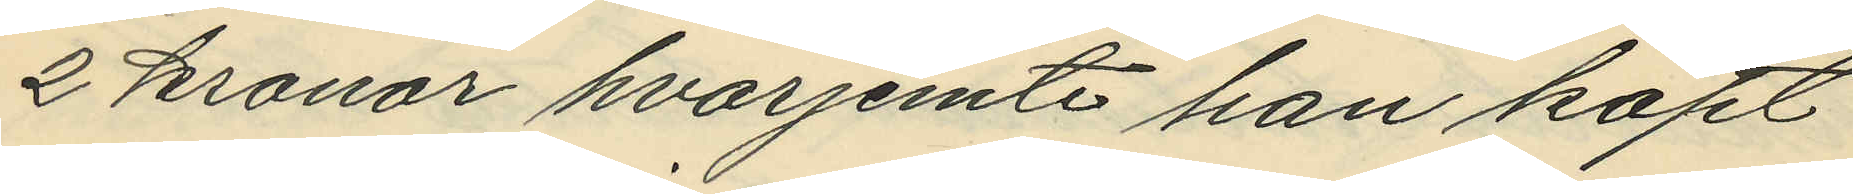2 kronor hvarjemte han köpt
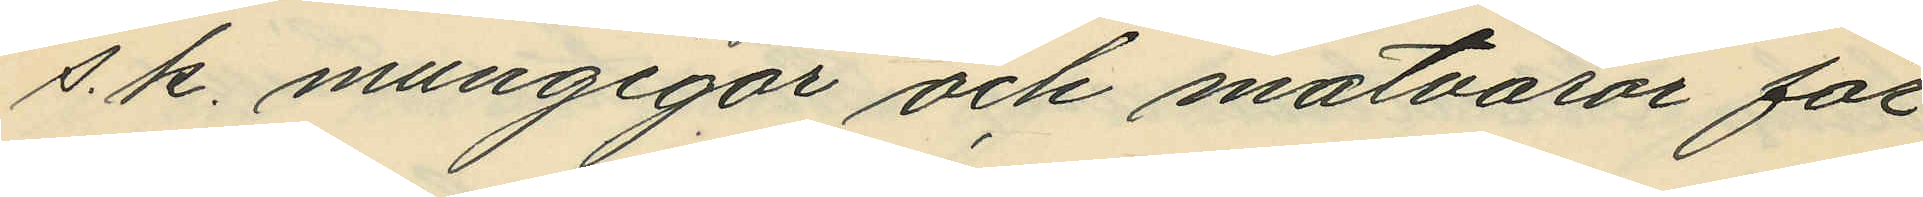s.k. mungigor och matvaror för
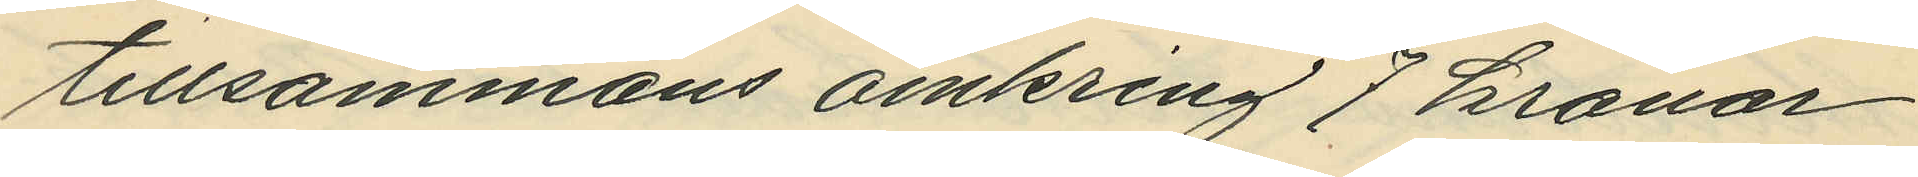tillsammans omkring 7 kronor
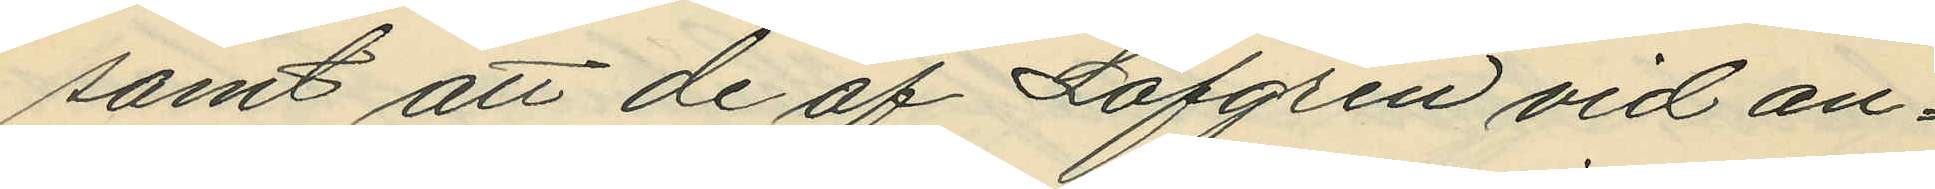samt att de af Löfgren vid an¬
